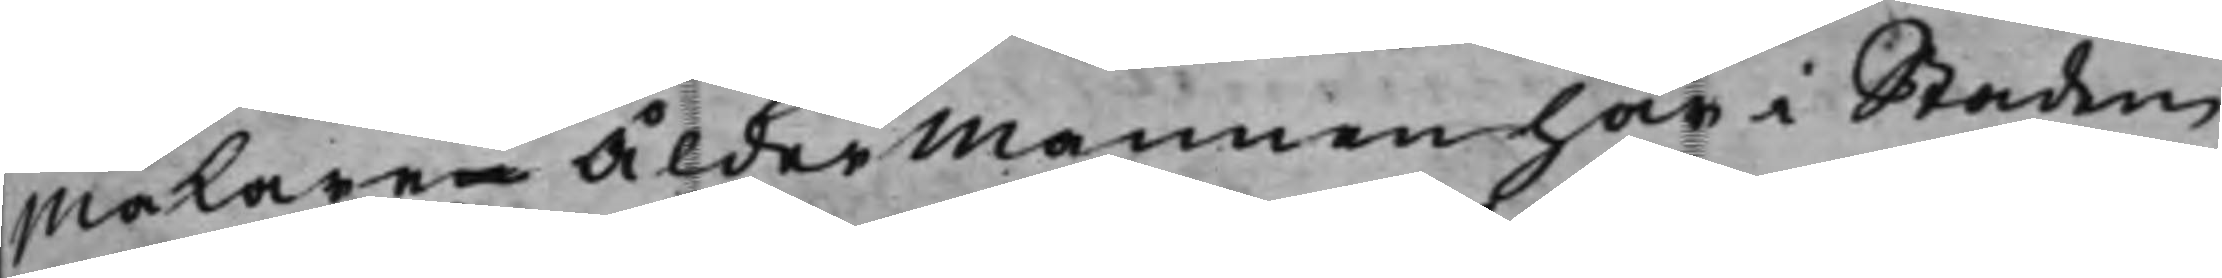makaren Åldermannen här i Staden
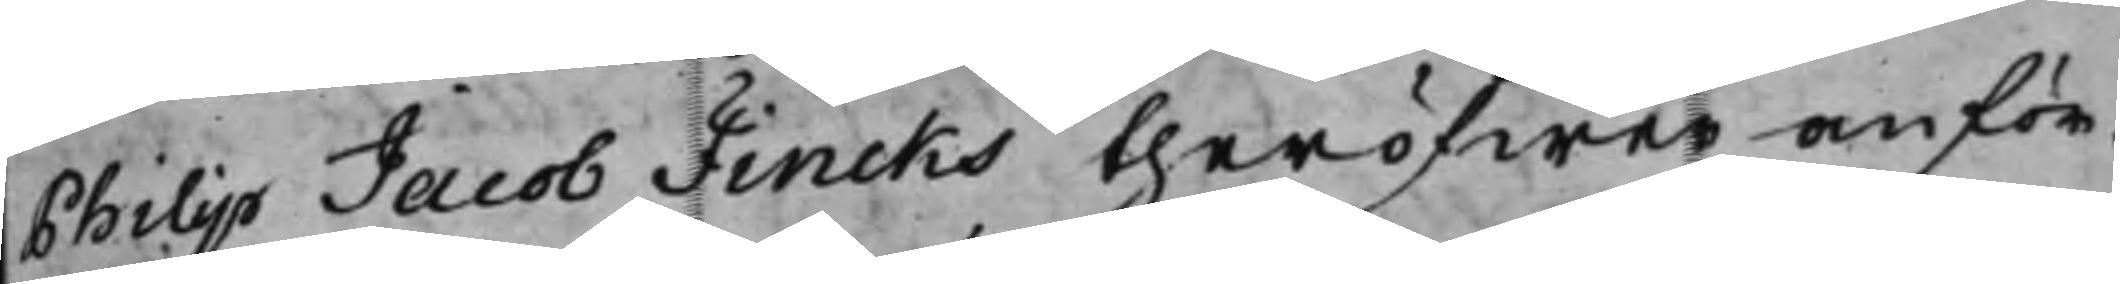Philip Jacob Fincks theröfwer anför¬
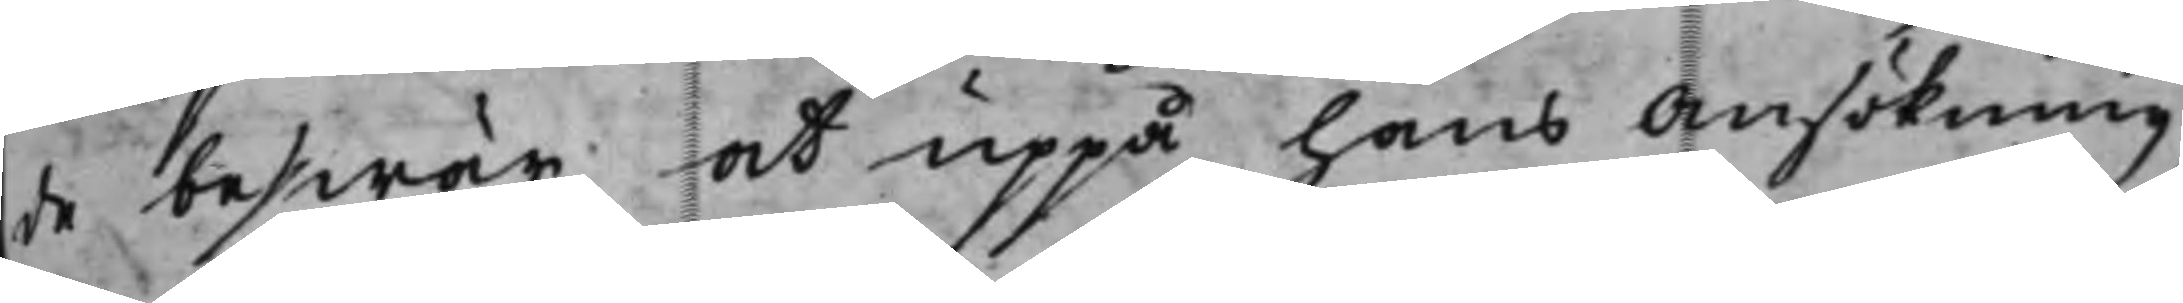de beswär, at uppå hans Ansökning,
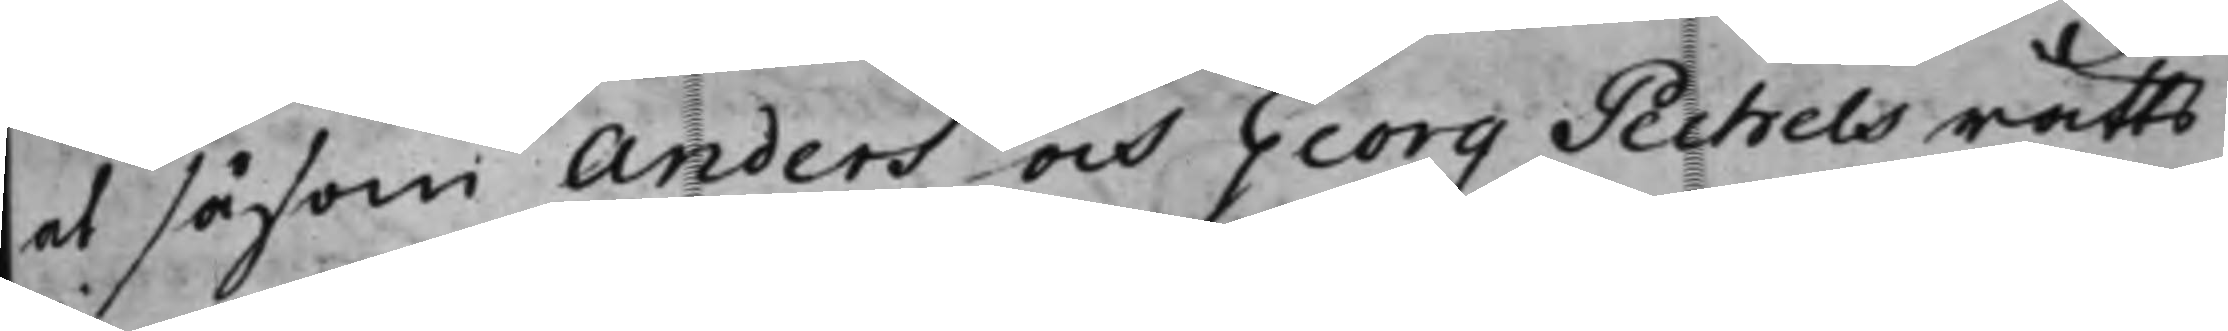at såsom Anders och Georg Pechels rätts
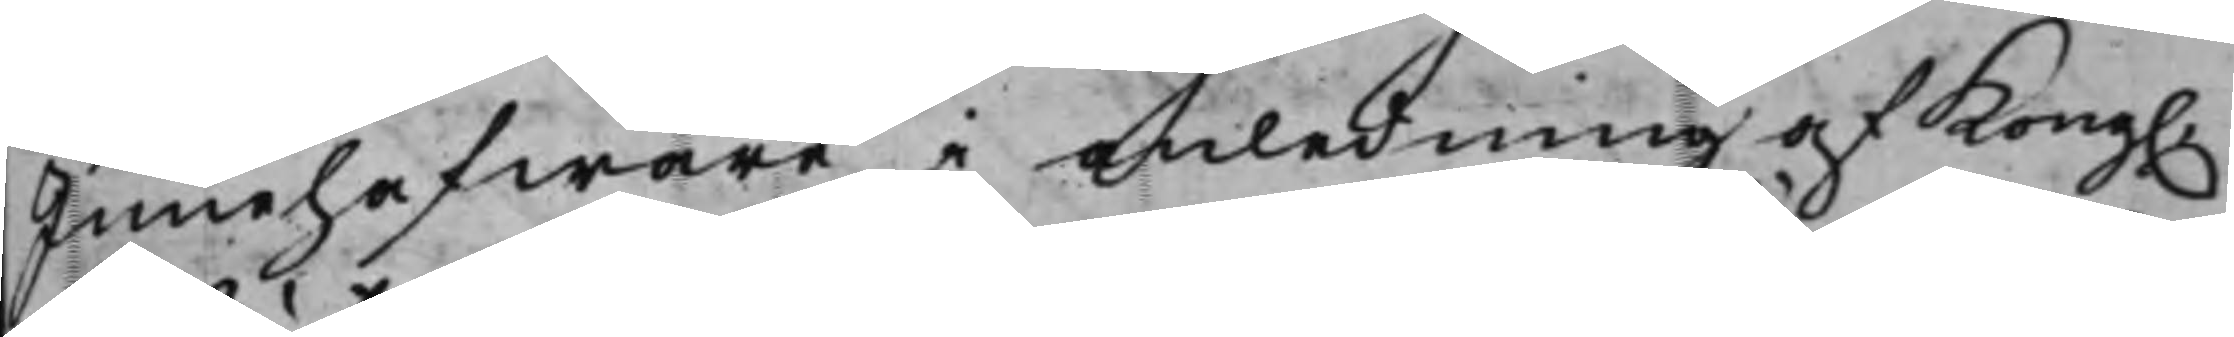Innehafware, i anledning af Kong.
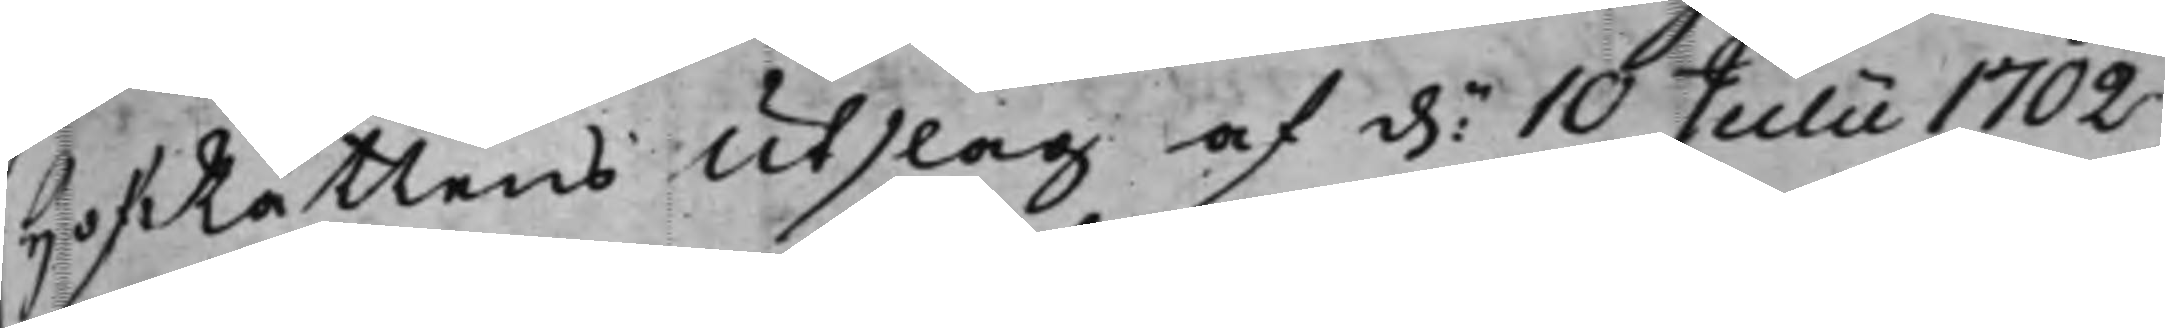HofRättens Utslag af d: 10 Julii 1702
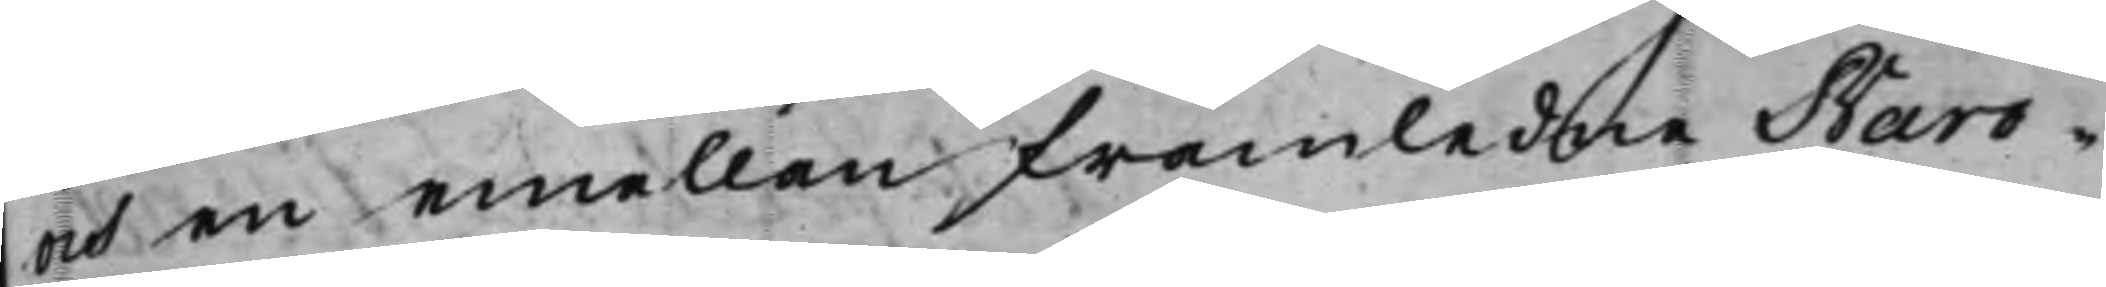och en emellan framledne Baro¬
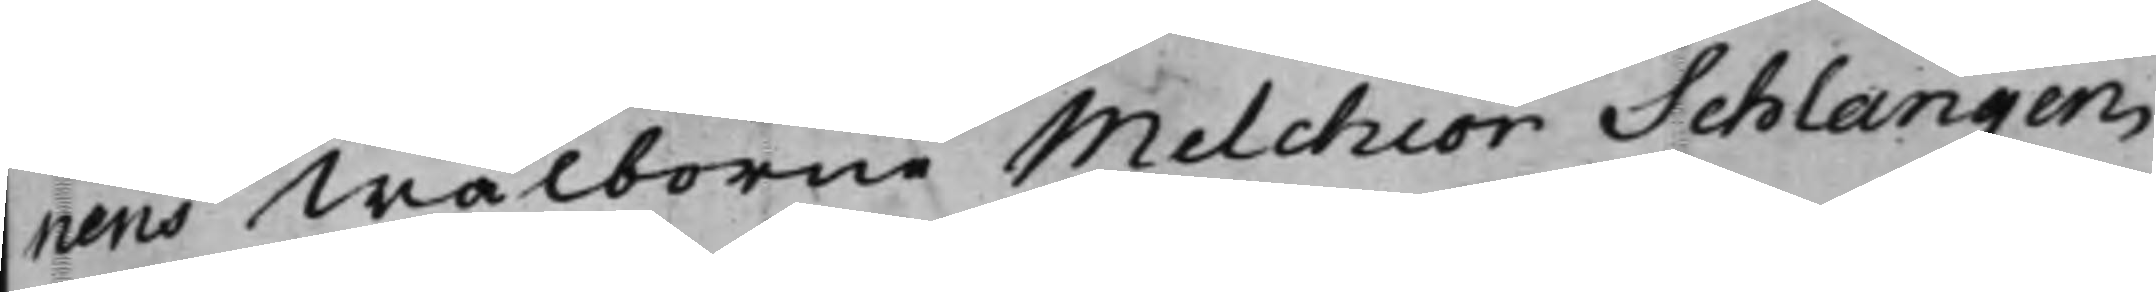nens Wälborne Melchior Schlangen¬
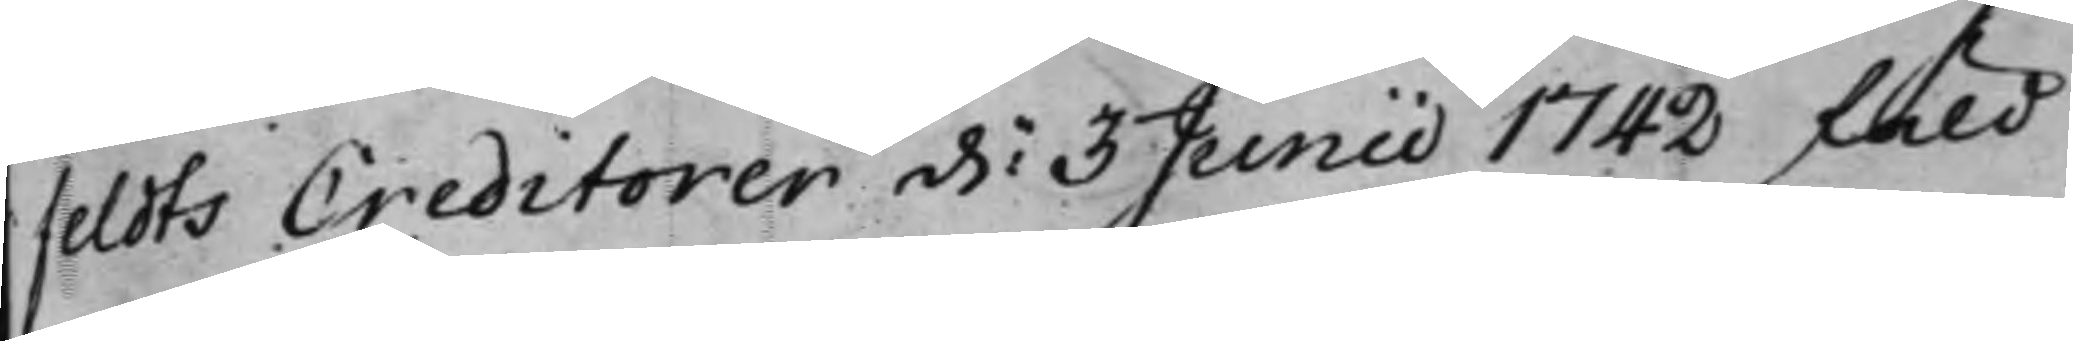feldts Creditorer d. 3 Junii 1742 fäld
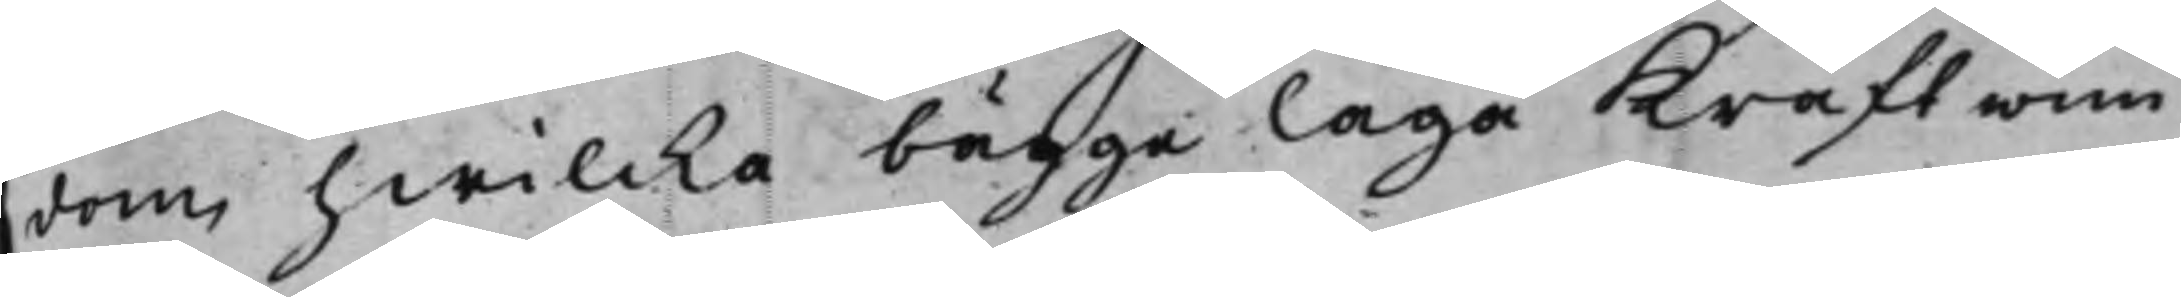dom, hwilcka bägge Laga Kraft wun¬
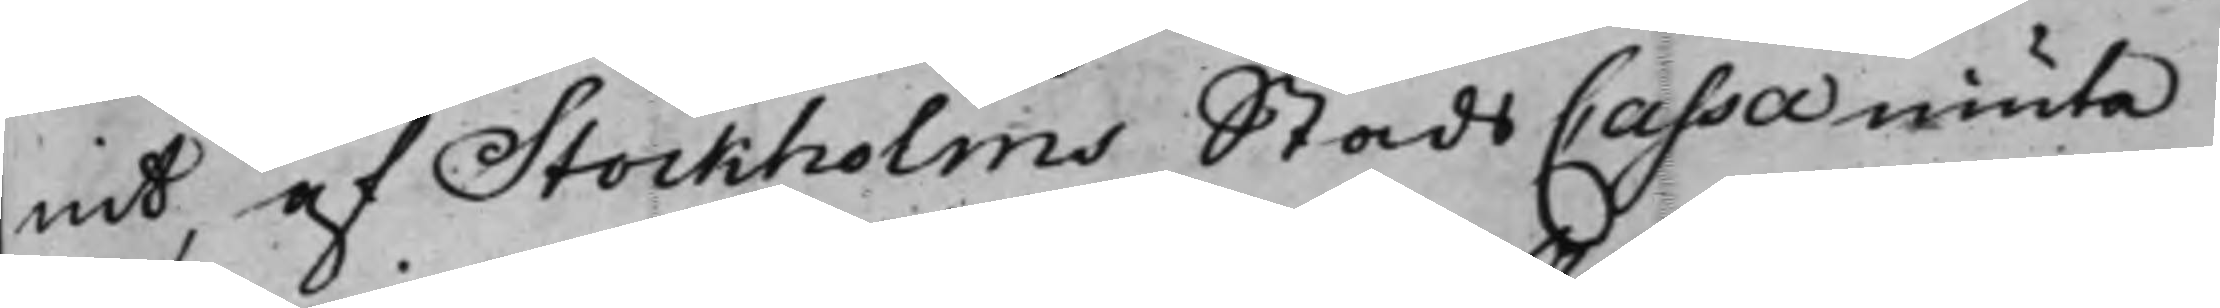nit, af Stockholms Stads Cassa niuta
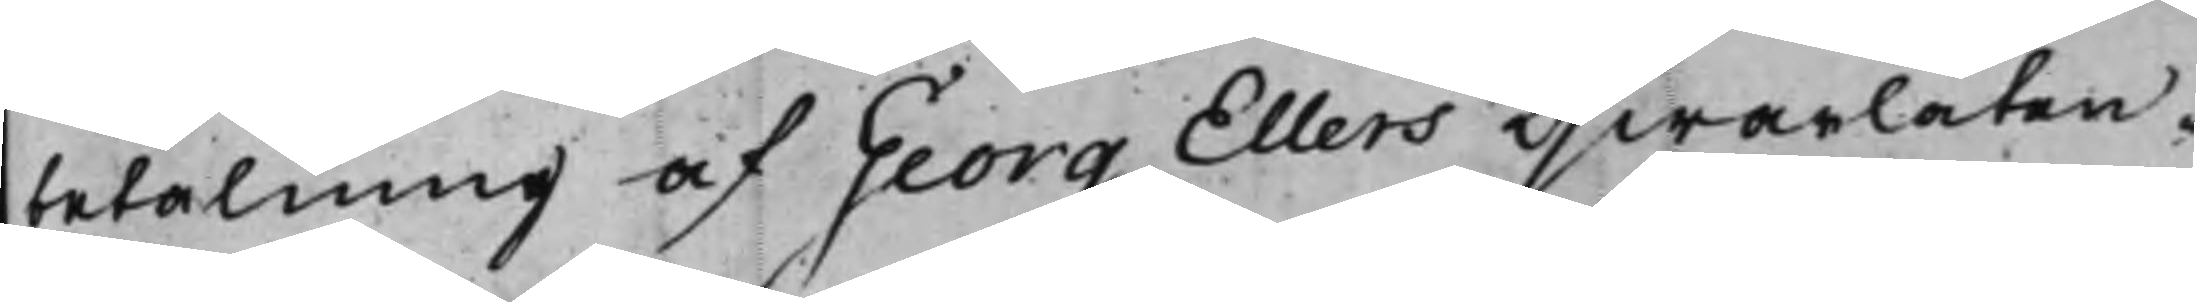betalning af Georg Ellers qwarlåten¬
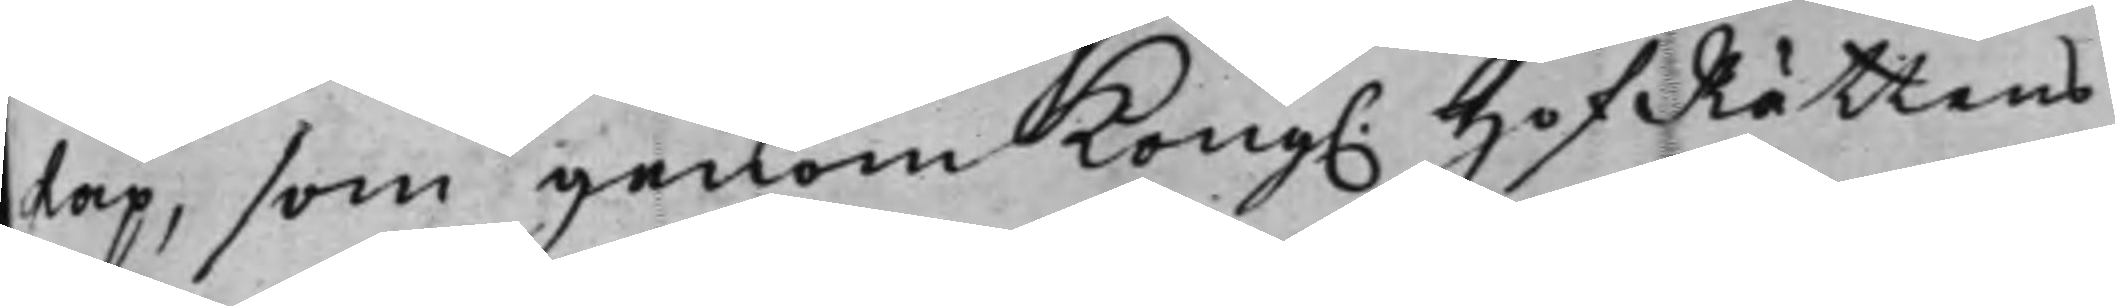skap, som genom Kong. HofRättens
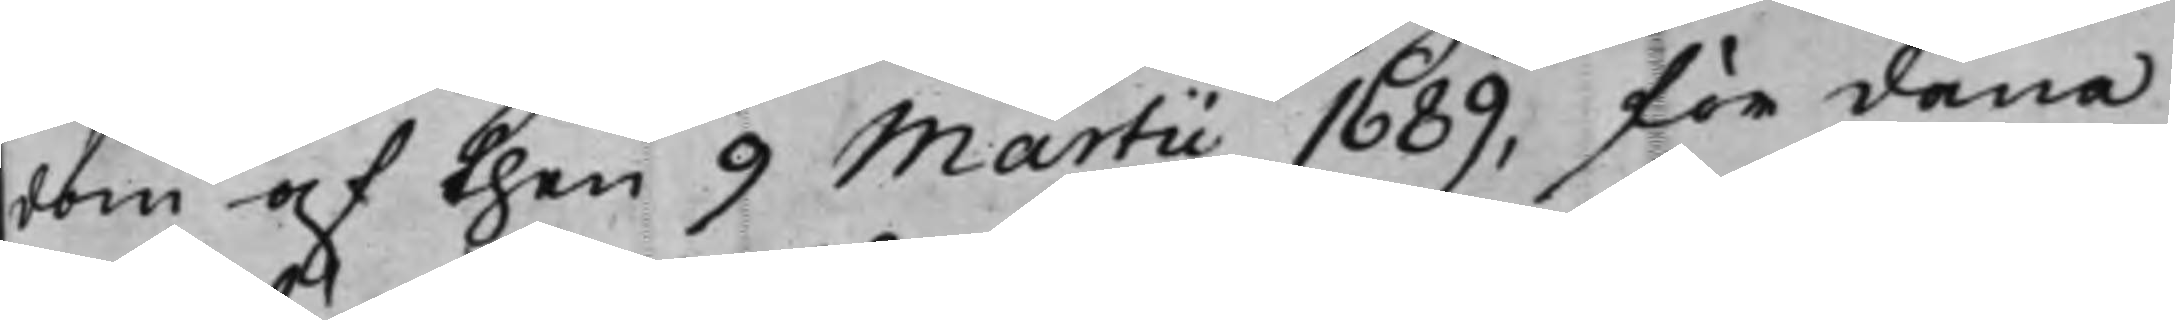dom af then 9 Martii 1689, för dana
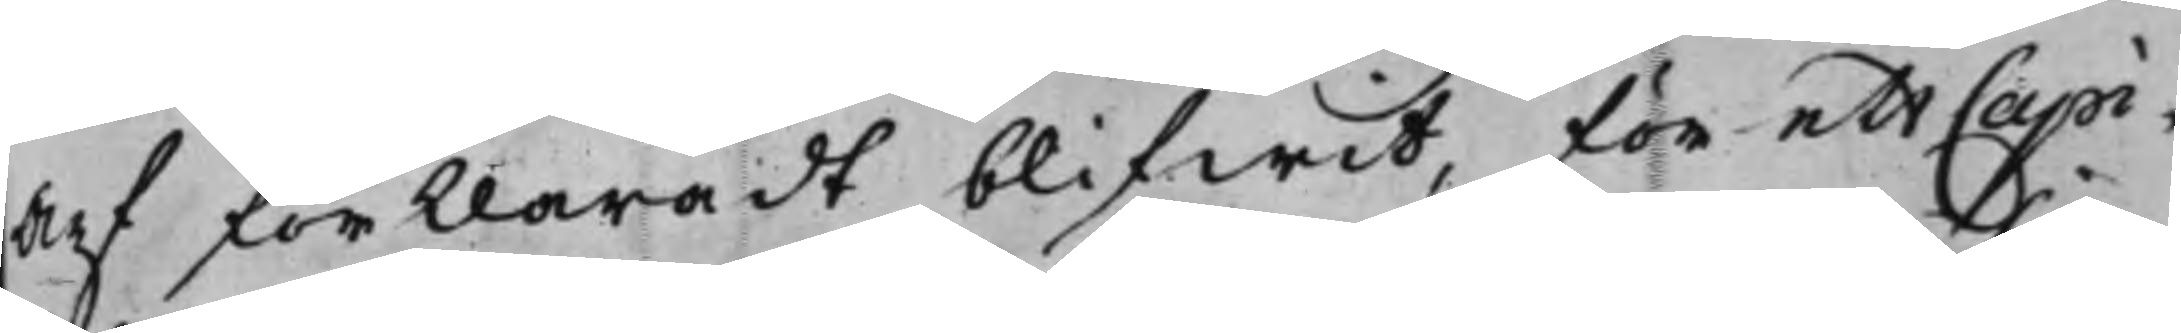Arf förklaradt blifwit, för ett Capi¬
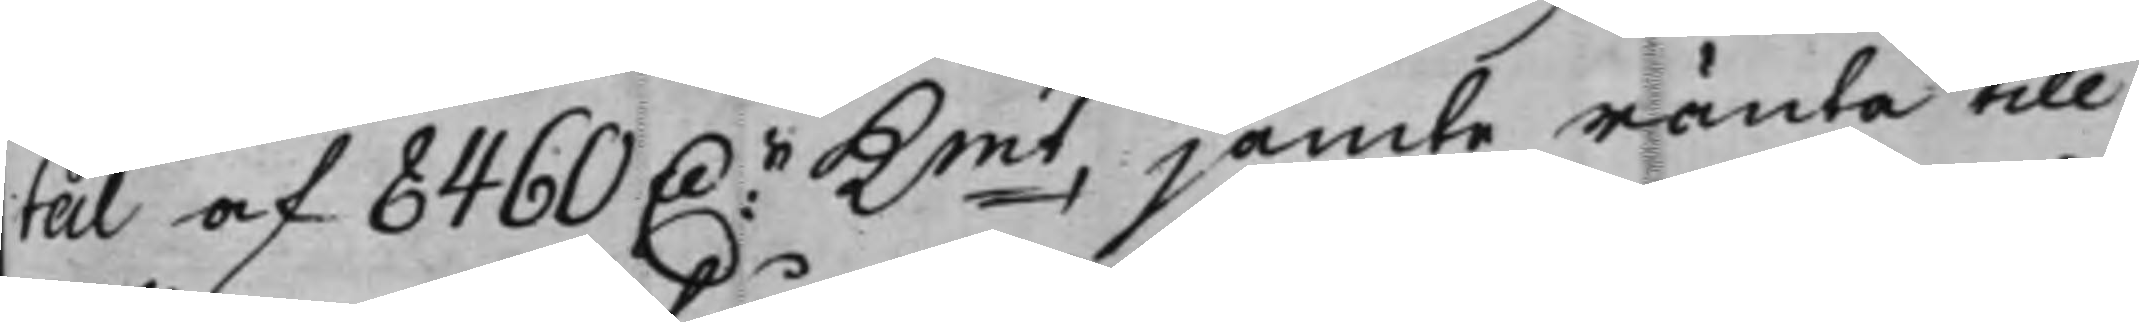tal af 8460 D.r Kmt jämte ränta till
